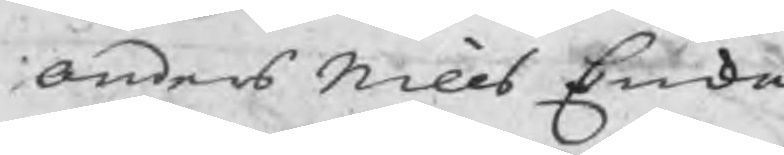Anders Nills Enka
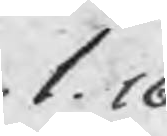1.16
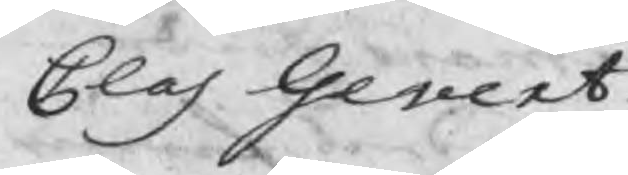Clas Gevert
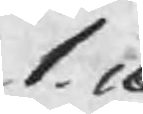1.16
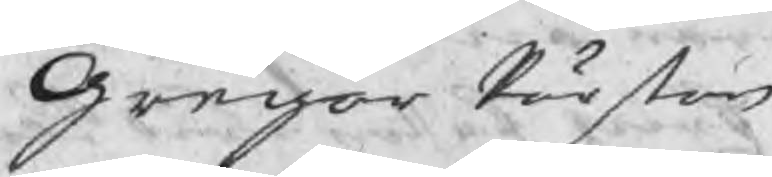Gregor Pärßon
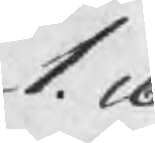1.16
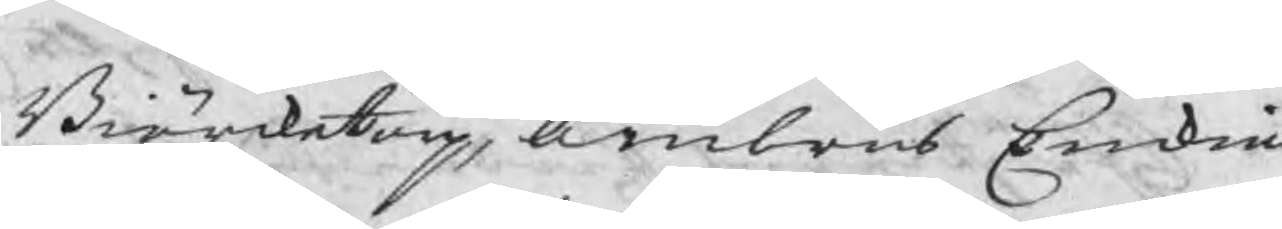Biörcketorp, Ambrus Enkia
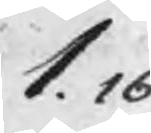1.16
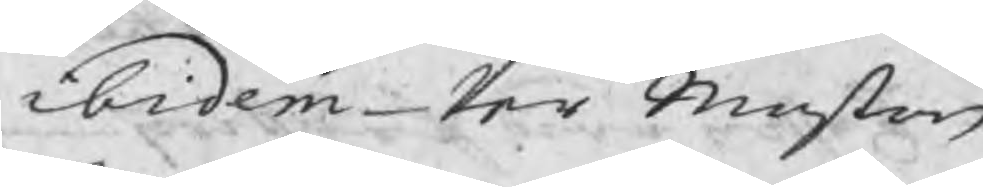ibidem Per Maßon
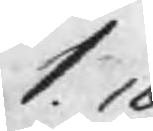1.16
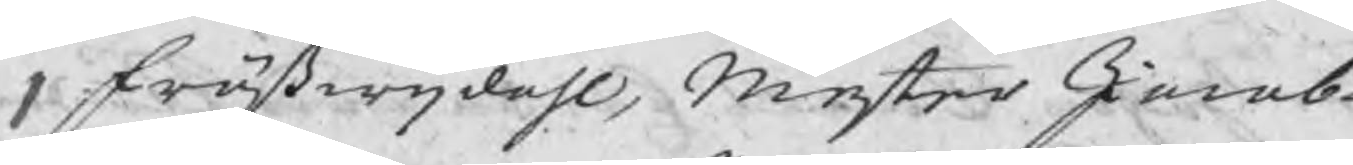Frößwijdahl, Mester Jacob
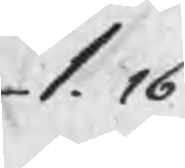1.16
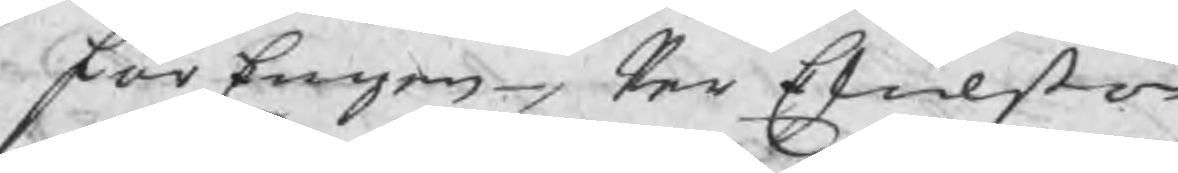FårEngen, Per Eskilßon
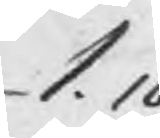1.16
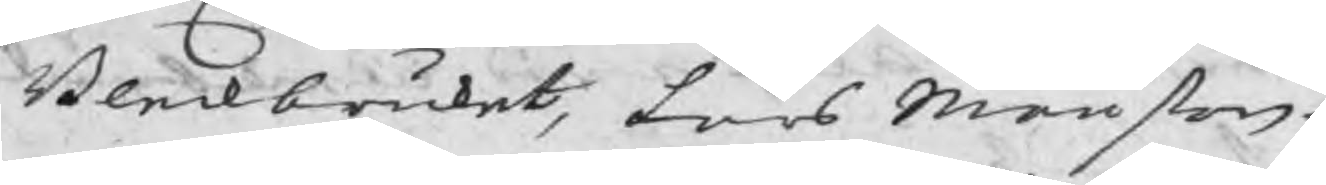Bleckbruket, Lars Månßon
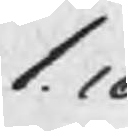1.16
